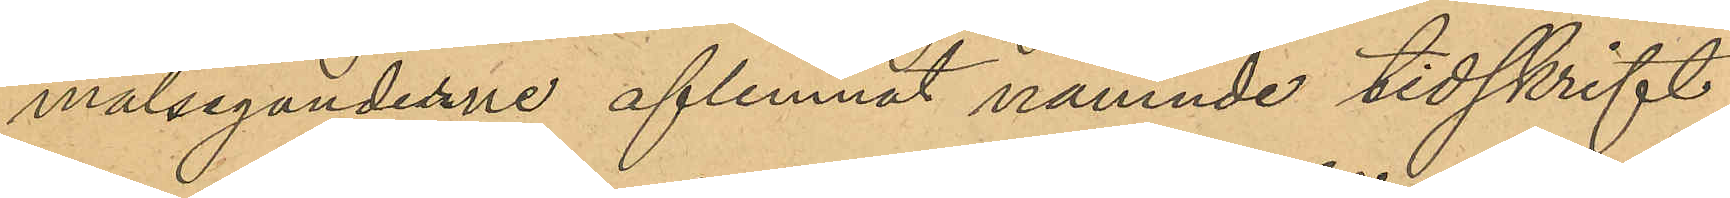målseganderne aflemnat nämnde tidskrift,
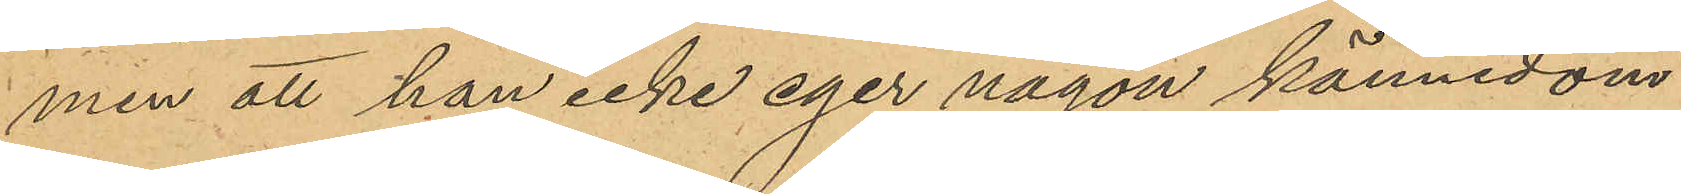men att han icke eger någon kännedom
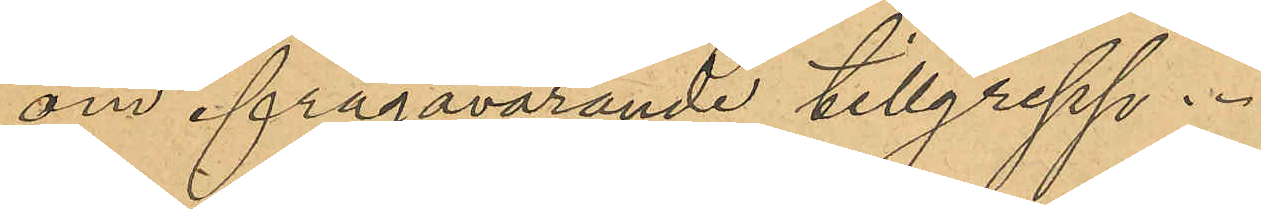om ifrågavarande tillgrepp.
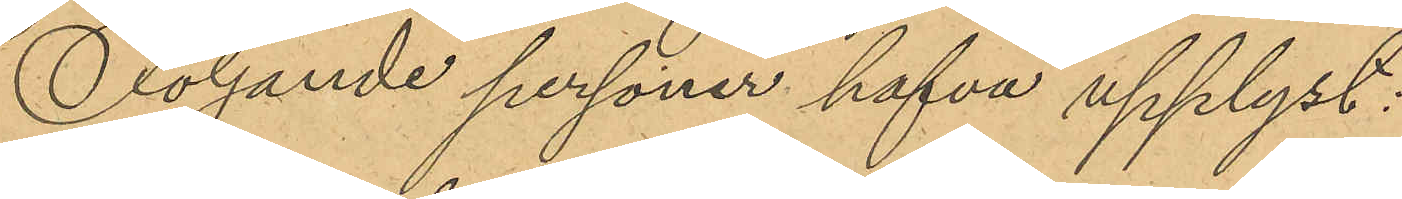Följande personer hafva upplyst:
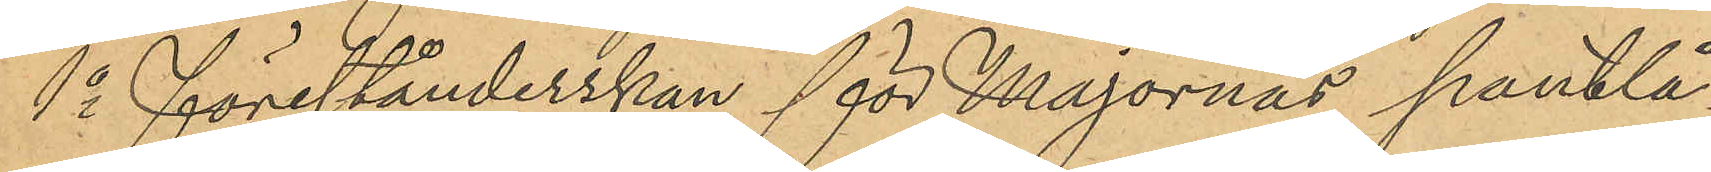1o förestånderskan för Majornas pantlå¬
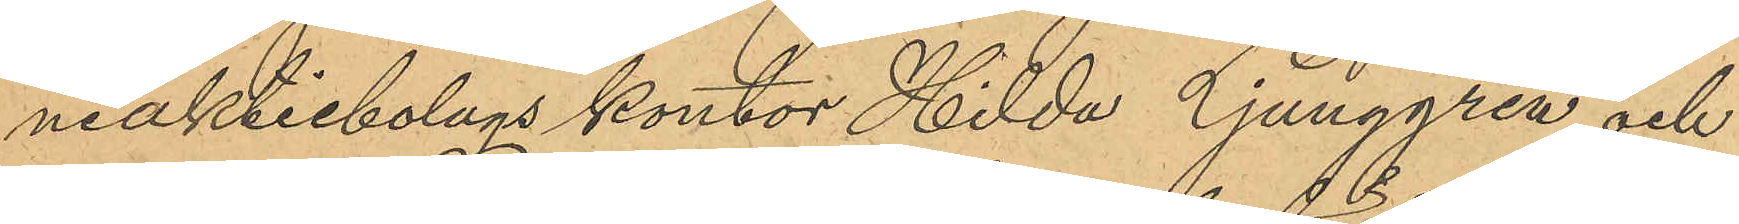neaktiebolags kontor Hilda Ljunggren och
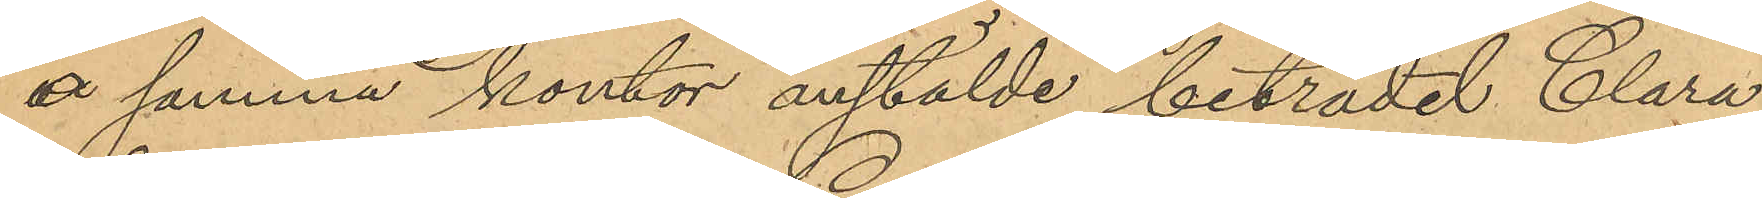å samma kontor anstälde biträdet Clara
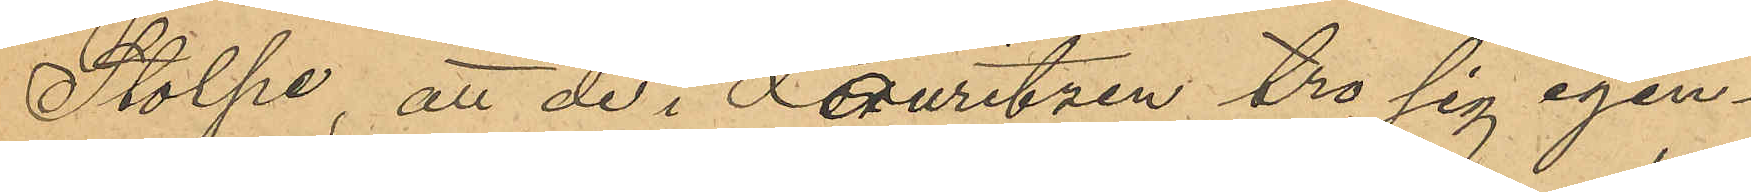Stolpe, att de i Lauritzen tro sig igen¬
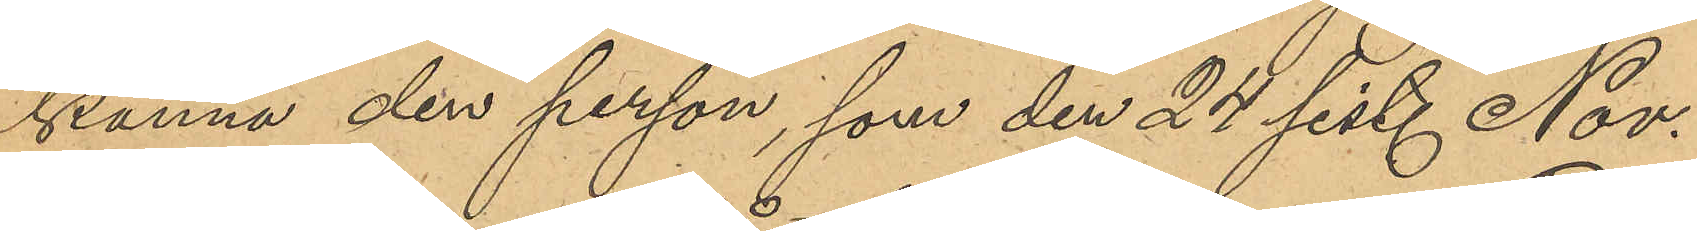känna den person, som den 24 sist. Nov.
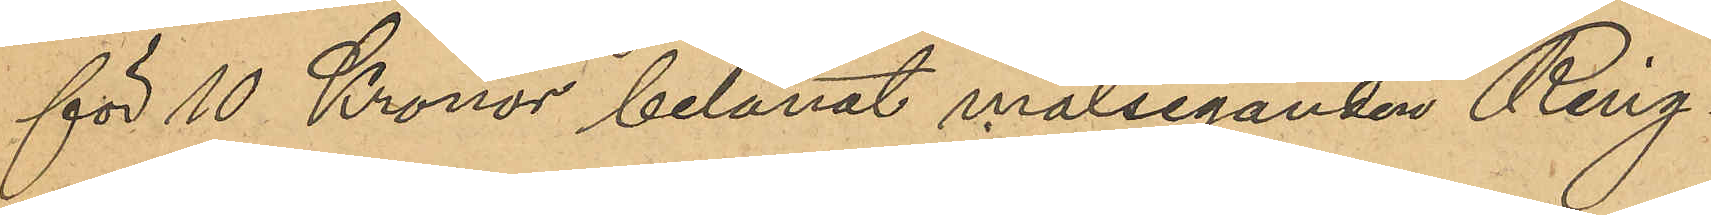för 10 Kronor belånat målseganden Ring¬
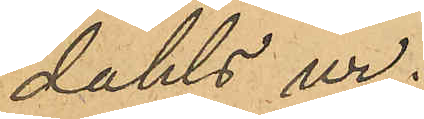dahls ur.
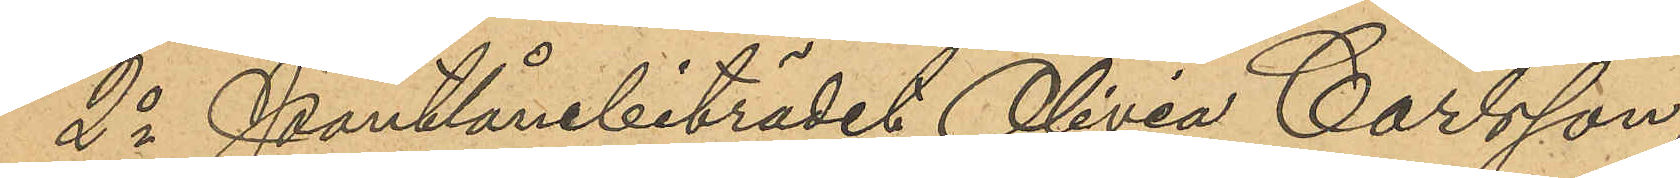2o Pantlånebiträdet Olivia Carlsson,
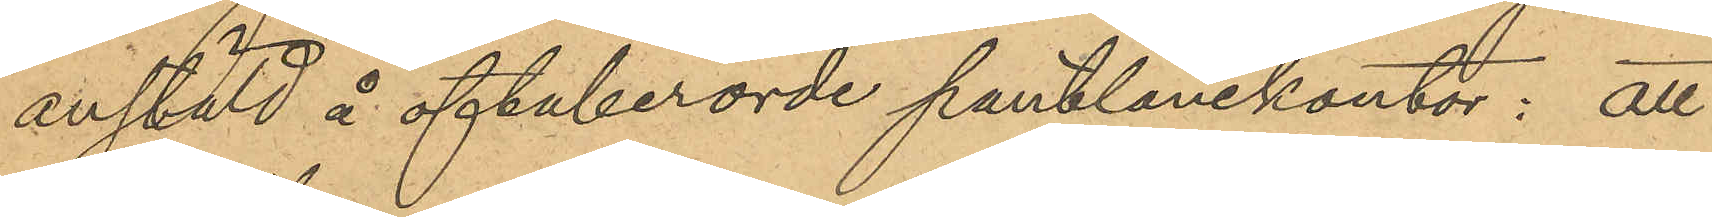anstäld å oftaberörde pantlånekontor: att
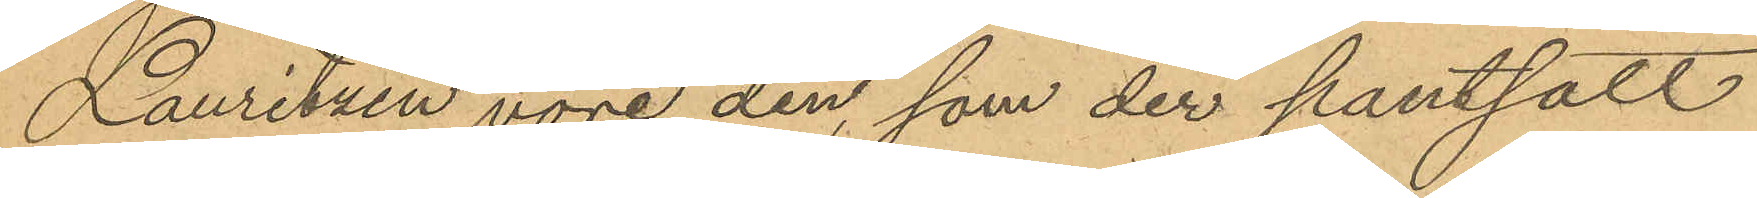Lauritzen vore den, som der pantsatt
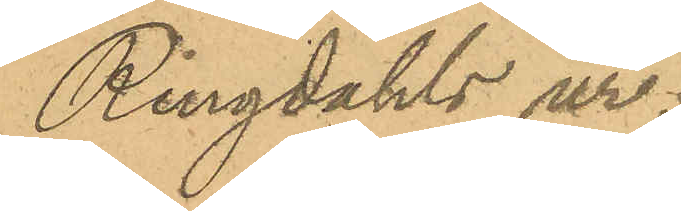Ringdahls ur.
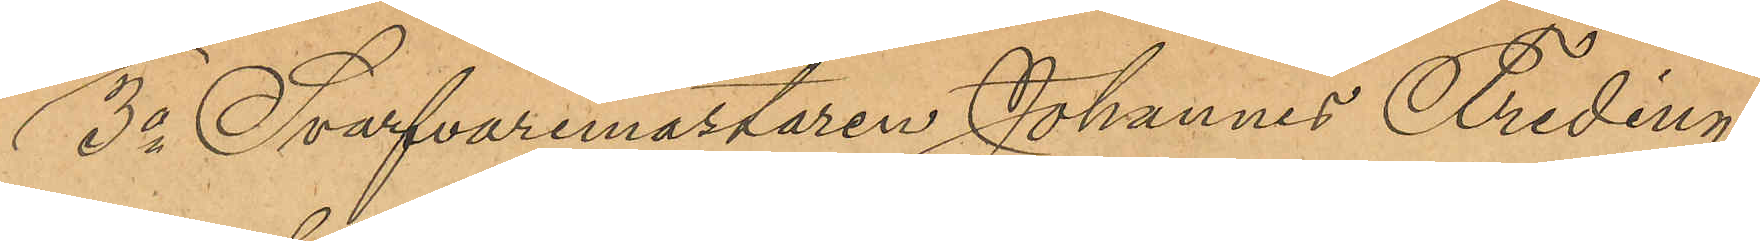3o Svarfvaremästaren Johannes Freding,
